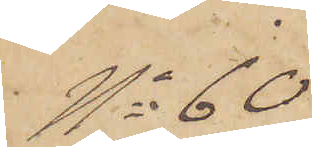No 60
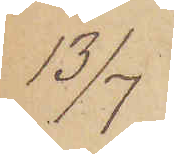13/7
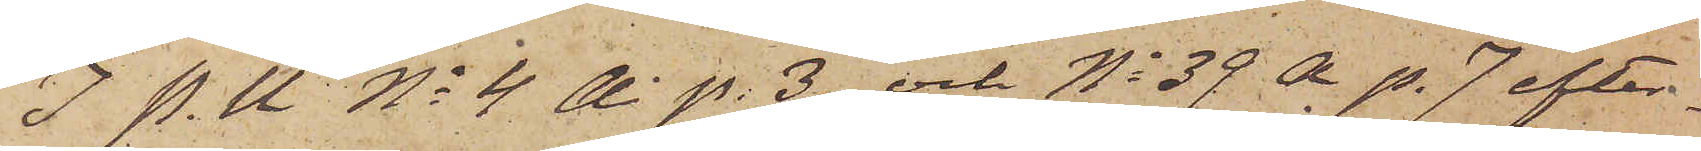I P. U. No 4 A. p. 3 och No 39 A p. 7 efter¬
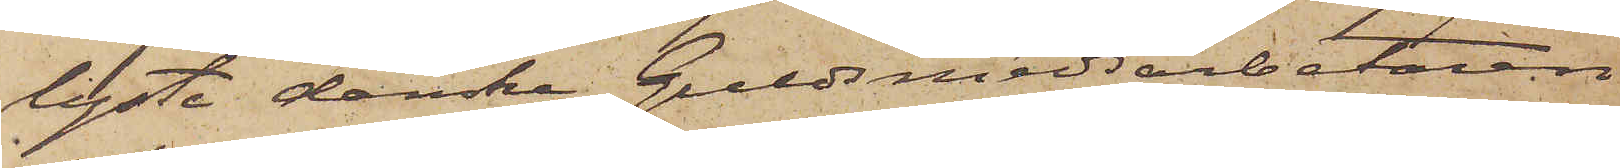lyste danska Guldsmedsarbetaren
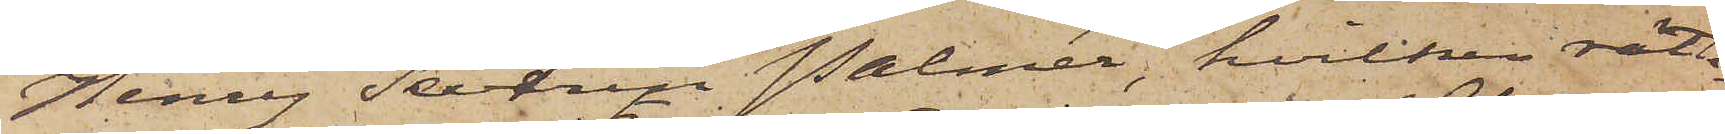Henry Severin Palmér, hvilken rätte¬
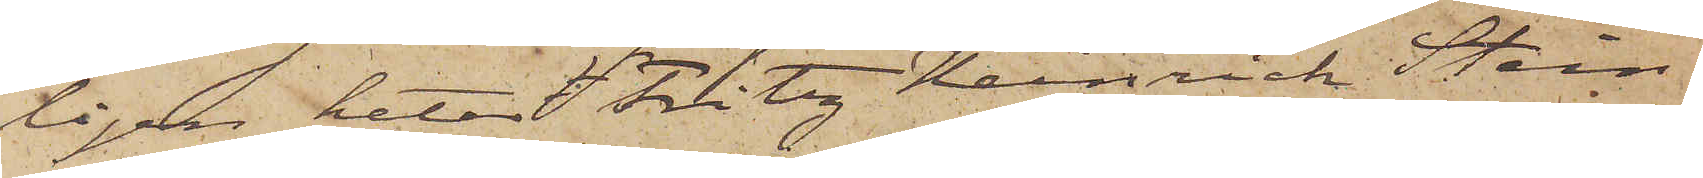ligen heter Fritz Henrich Stein¬
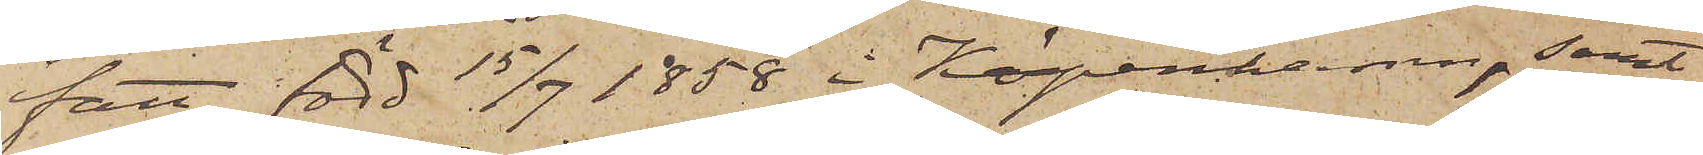fatt, född 15/7 1858 i Köpenhamn, samt
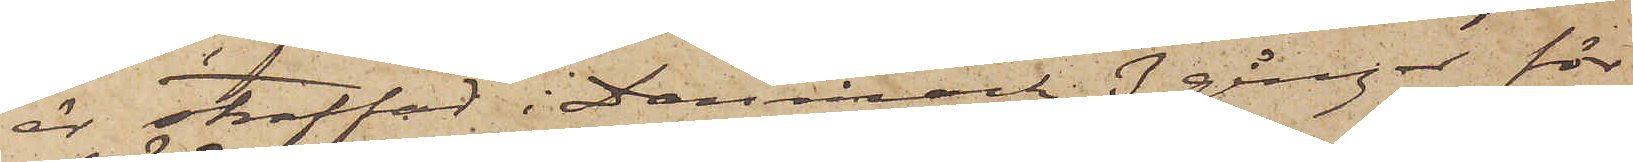är straffad i Danmark 3 gånger för
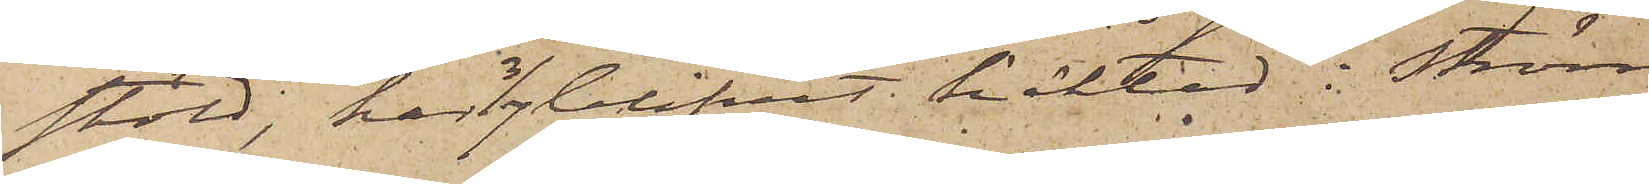stöld, har 3/7 blifvit häktad i Ström¬
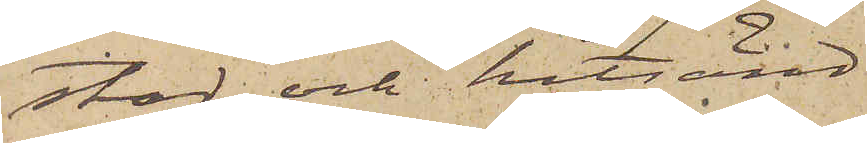stad och hitsänd.
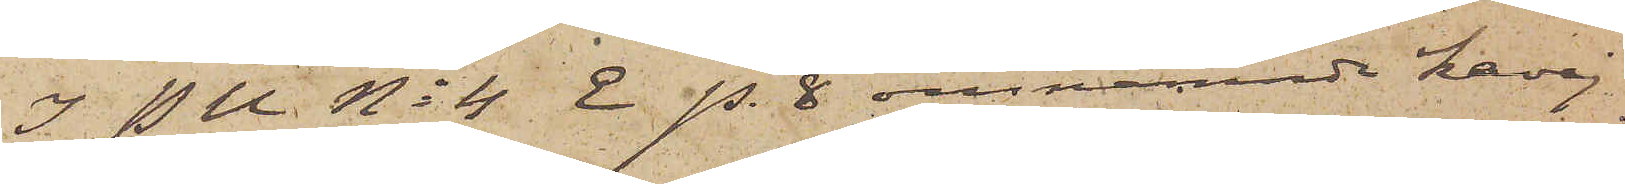I P U No 4 E p. 8 omnämnde kavaj
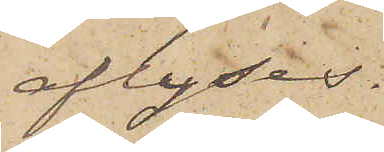aflyses.
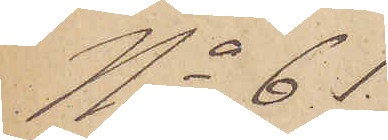No 61.
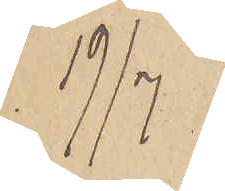19/7
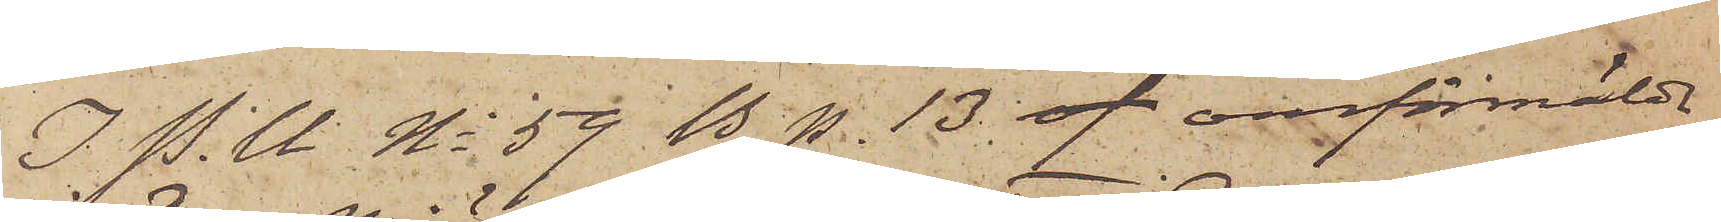I. P.U No 59 B p. 13 of omförmälde
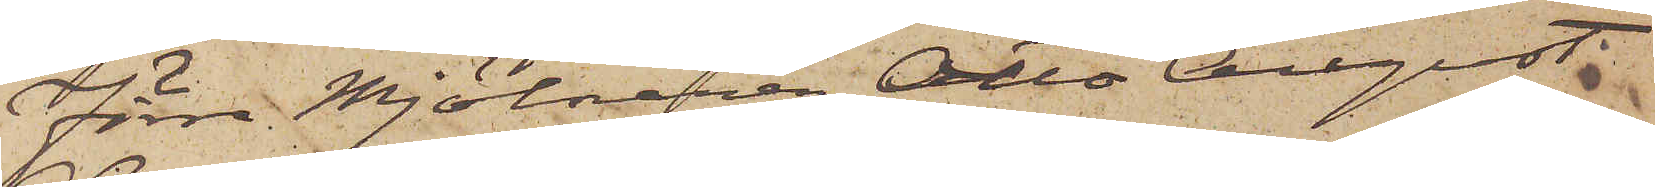Förre Mjölnaren Otto August
